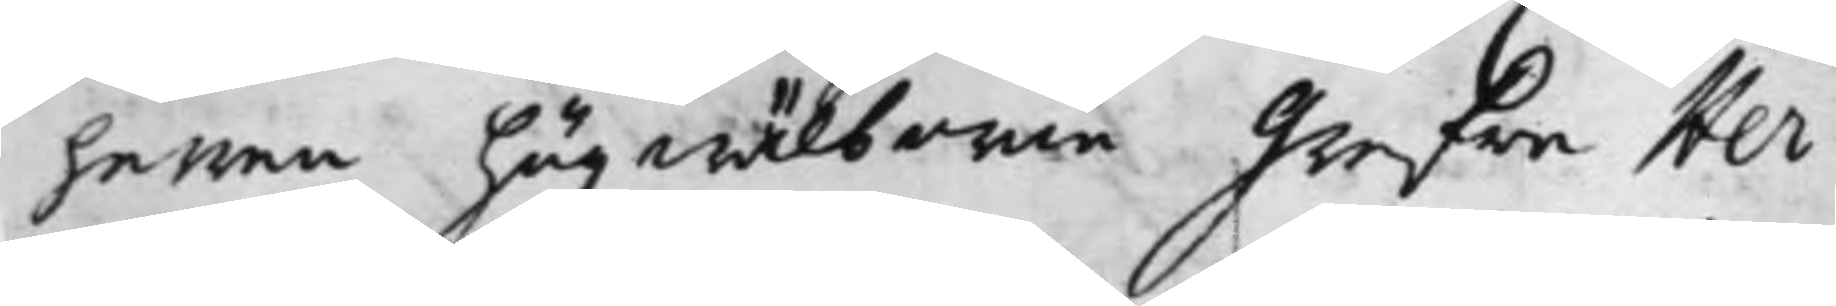herren högwälborne Grefwe Her¬
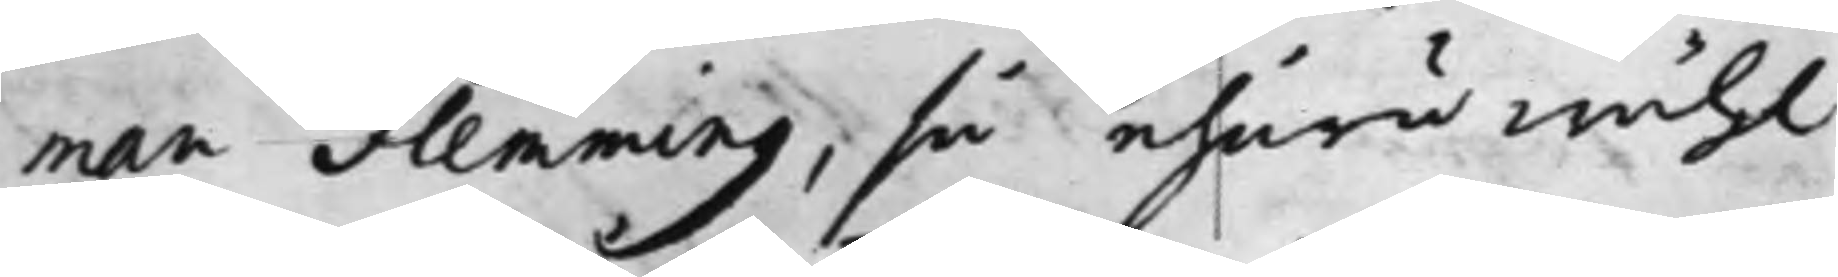man Flemming, så ehuru wähl
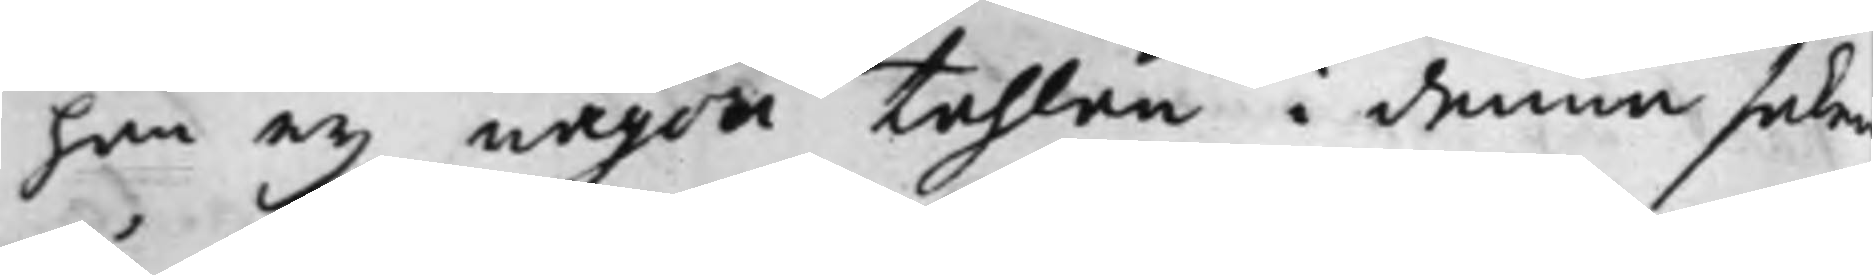han ey någon tahlan i denna saken
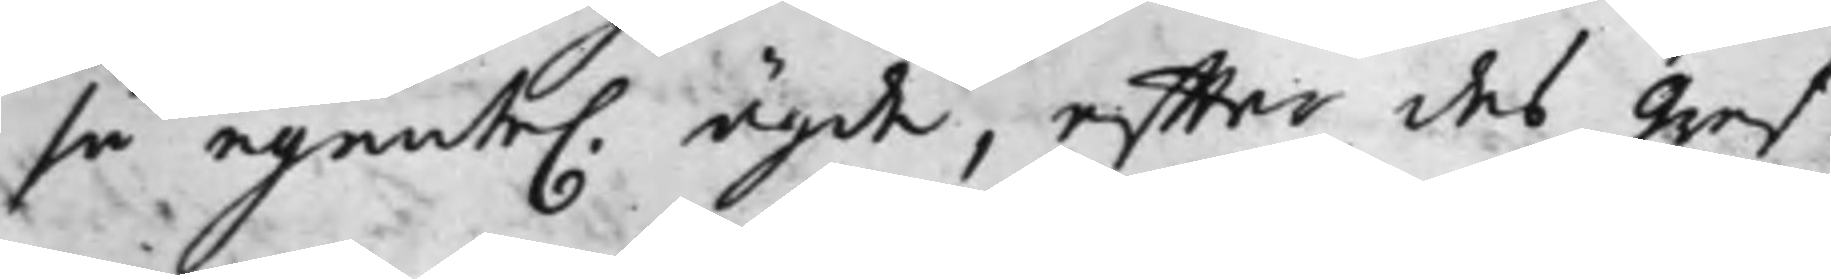så egente. ägde, effter des Gref¬
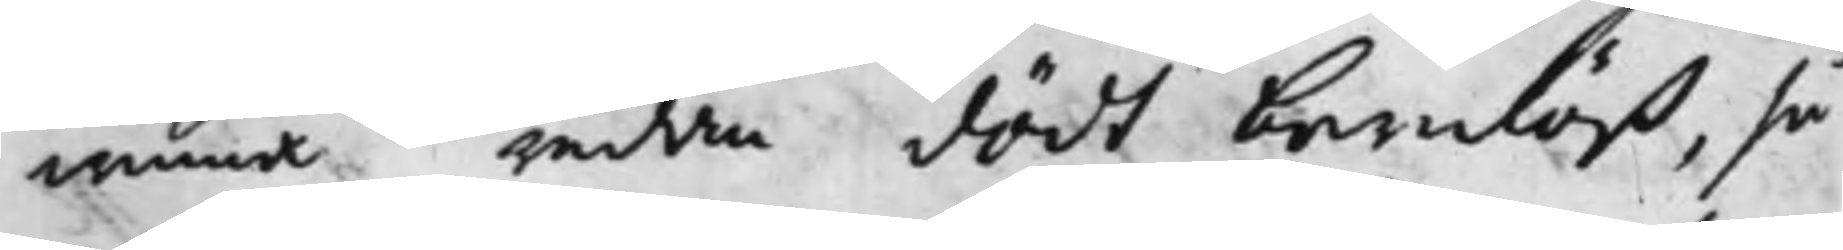winna redan dödt barnlöß, så
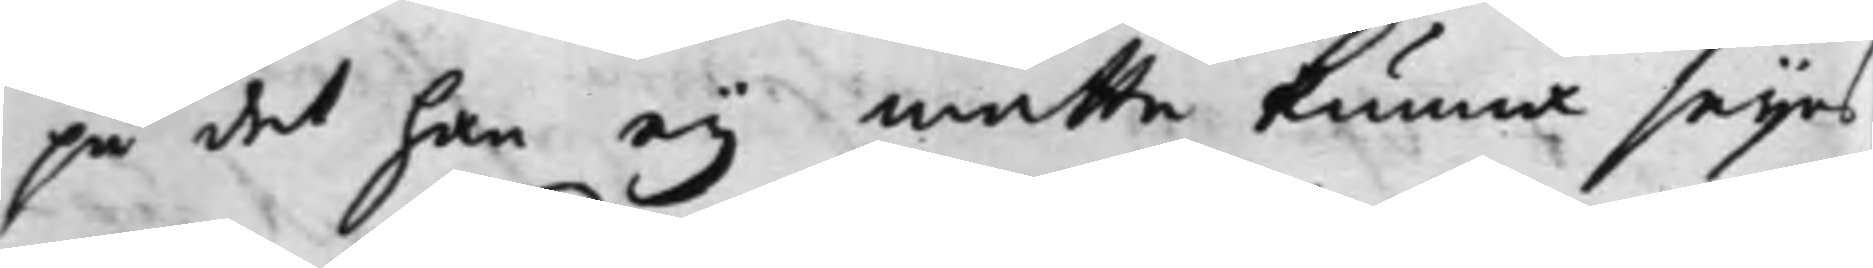på det han ey måtte kunna seijas
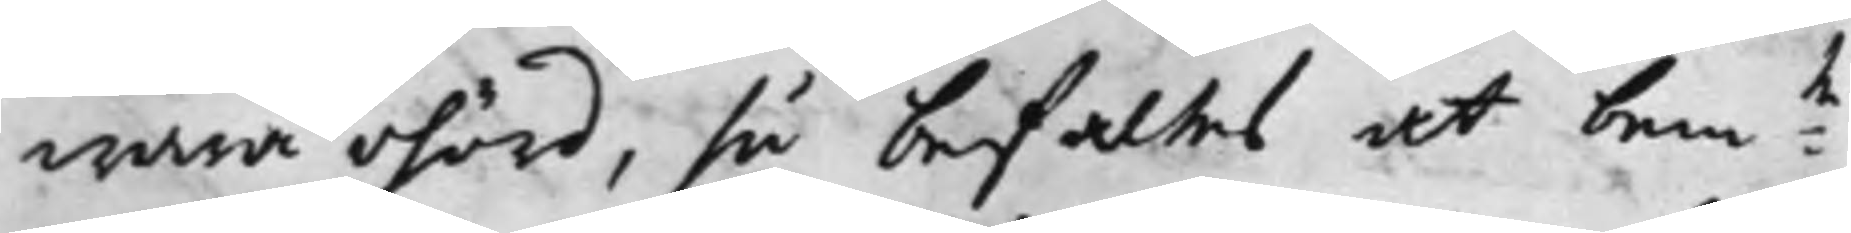wara ohörd, så befaltes at bem:te
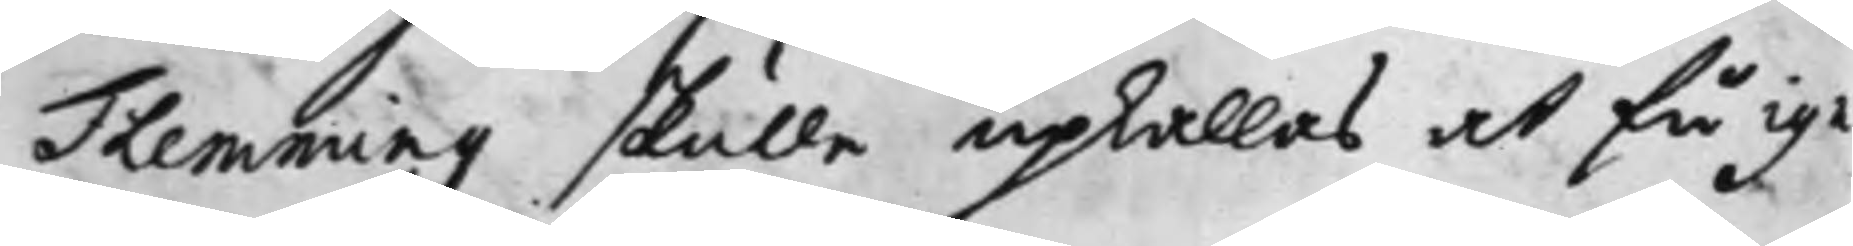Flemming skulle upkallas at få ige¬
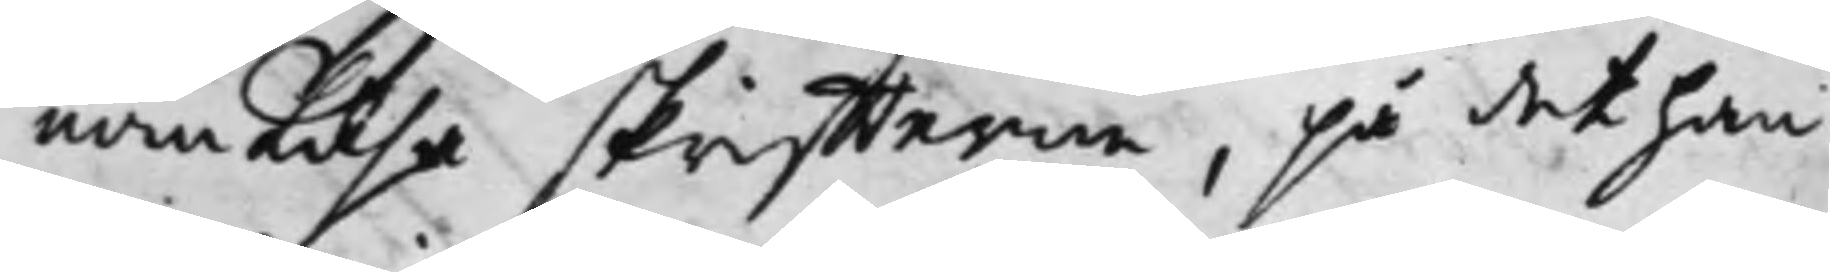nom läsa skriffterna, på det han
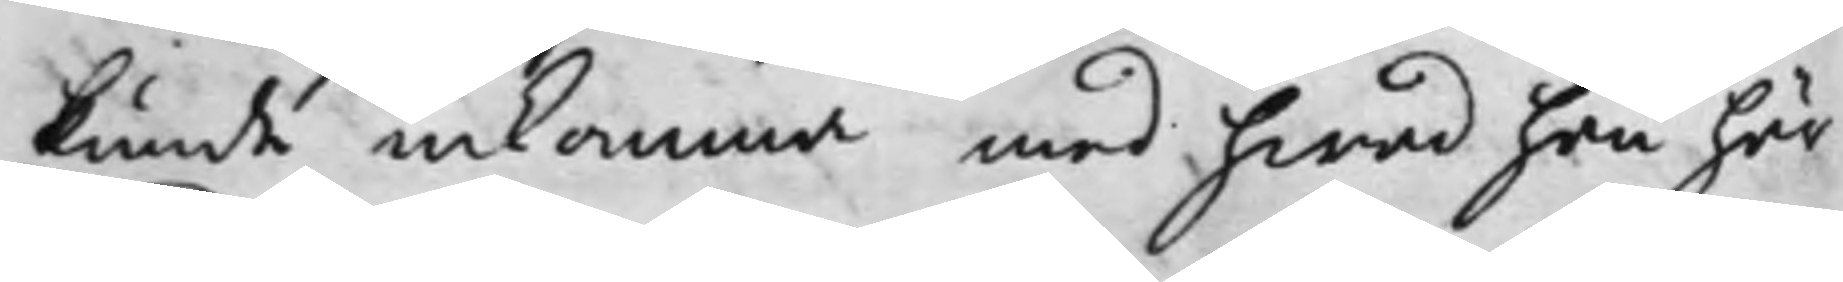kunde inkomma med hwad han här¬
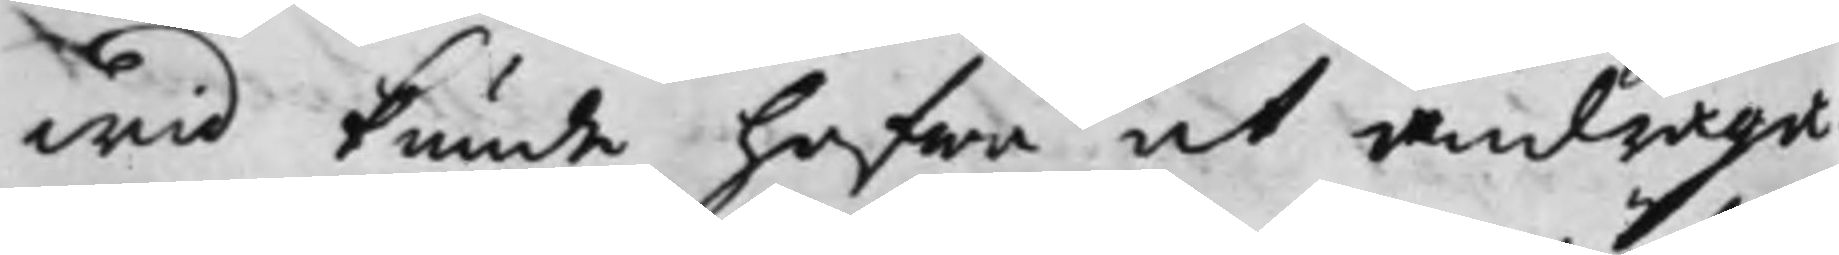wid kunde hafwa at andraga
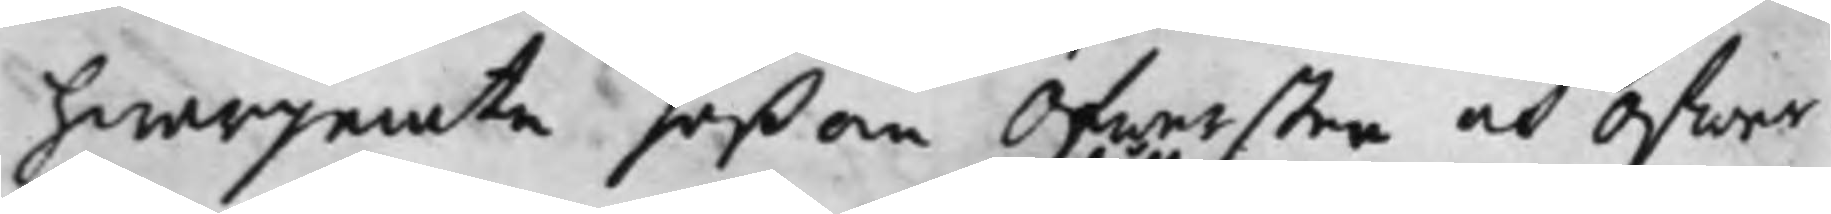hwarjemte såßom Öfwersten och Öfwer¬
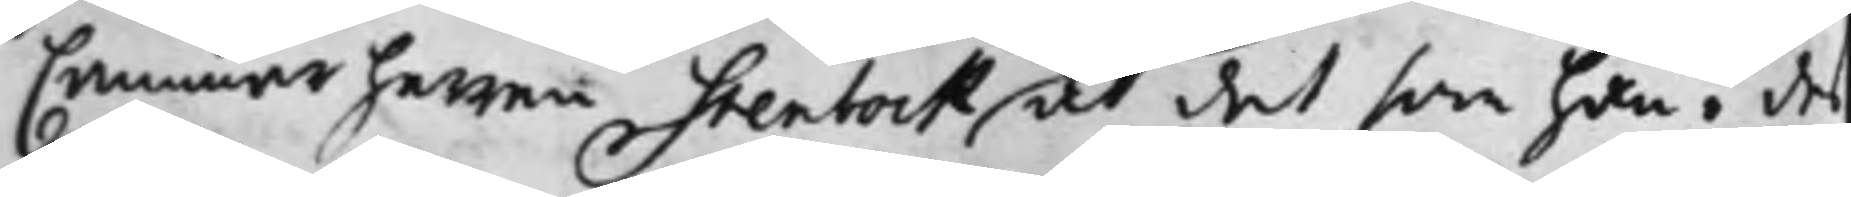Cammarherren Stenbock at det som han i des
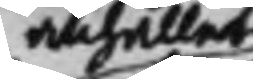anhåller
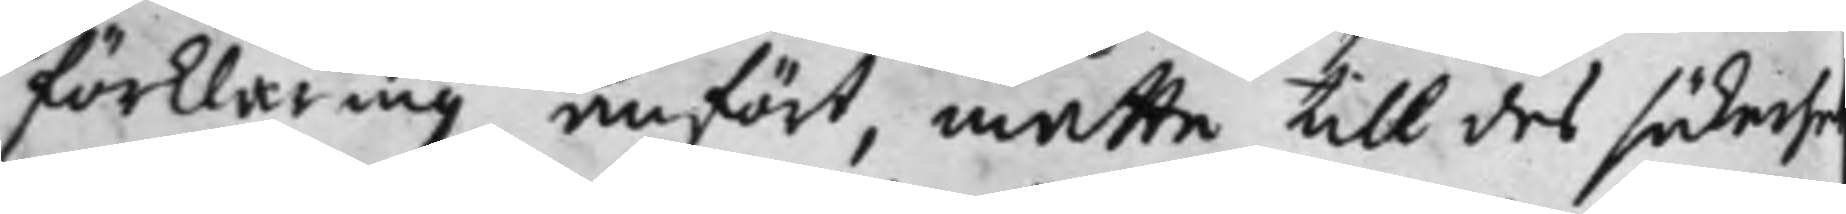förklaring anfört, måtte till des säkerhe
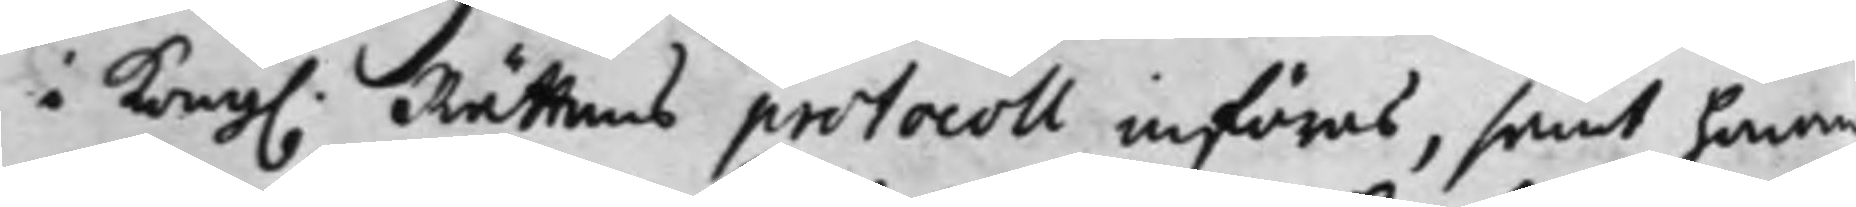i Kong. Rättens protocoll införas, samt honom
